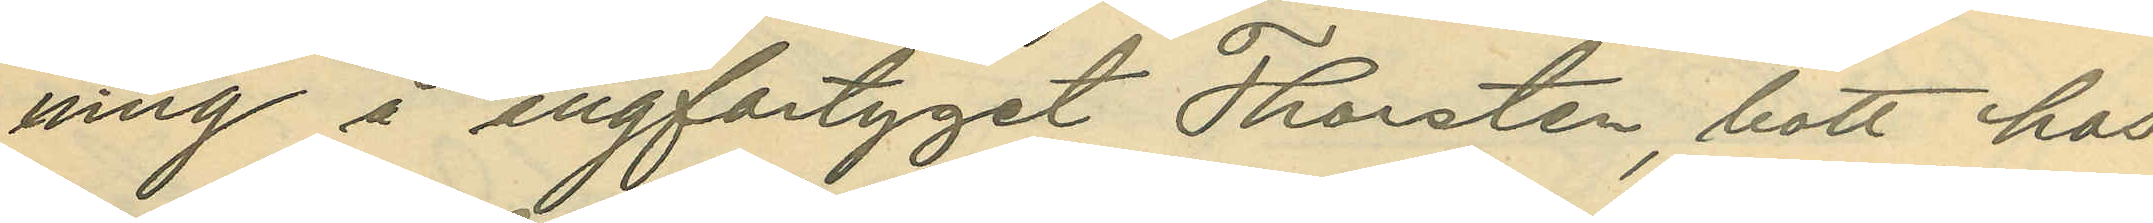ning å ångfartyget Thorsten, bott hos
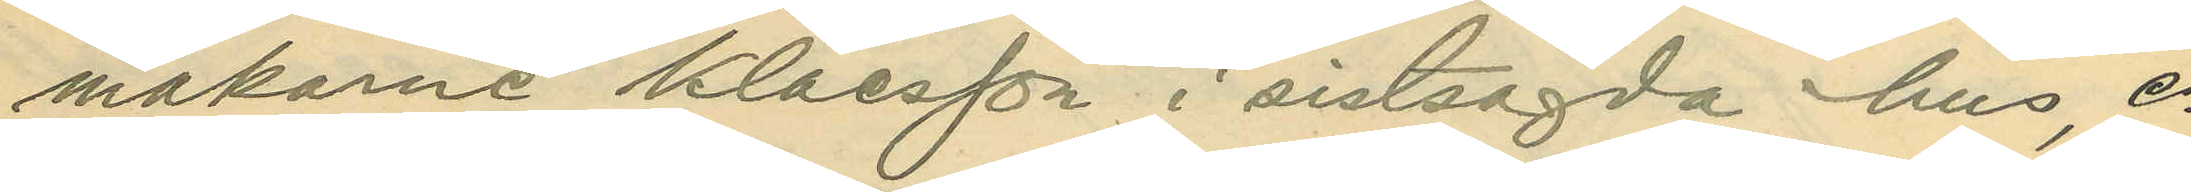makarne Klaesson i sistsagda hus, e¬
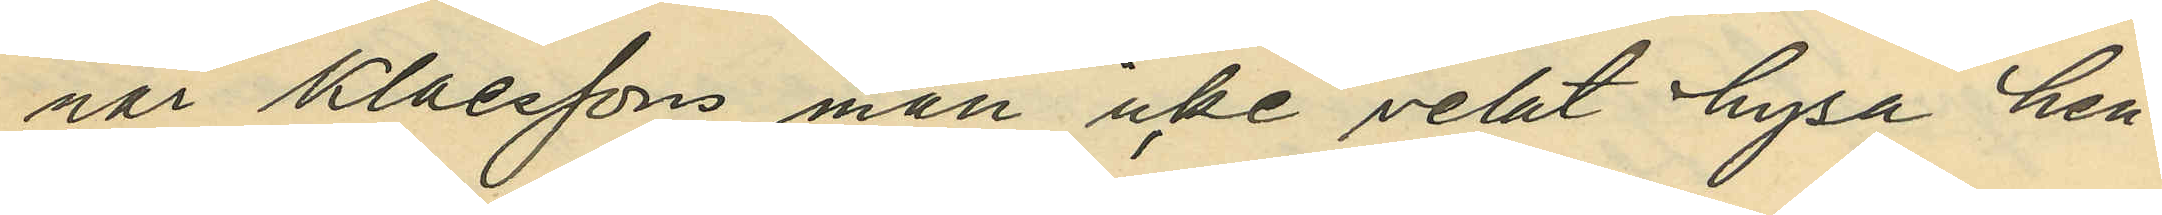när Klaessons man icke velat hysa hen¬
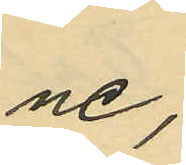ne;
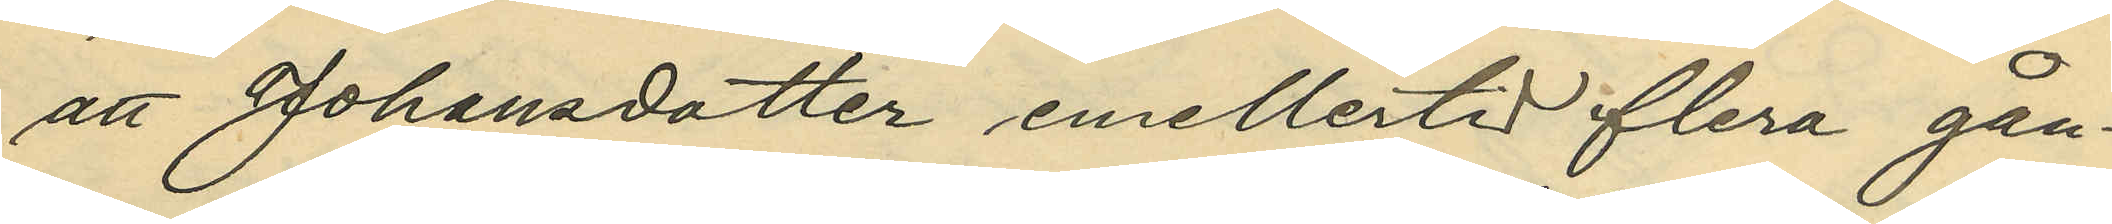att Johansdotter emellertid flera gån¬
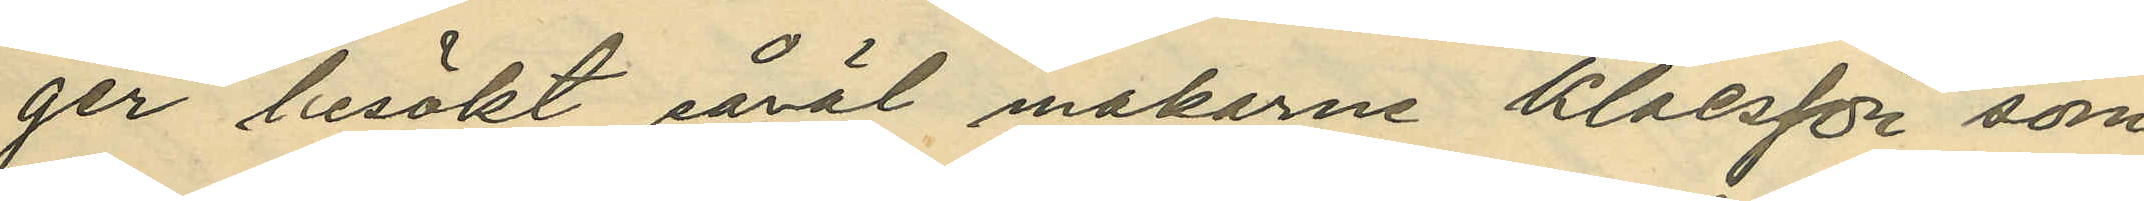ger besökt såväl makarne Klaesson som
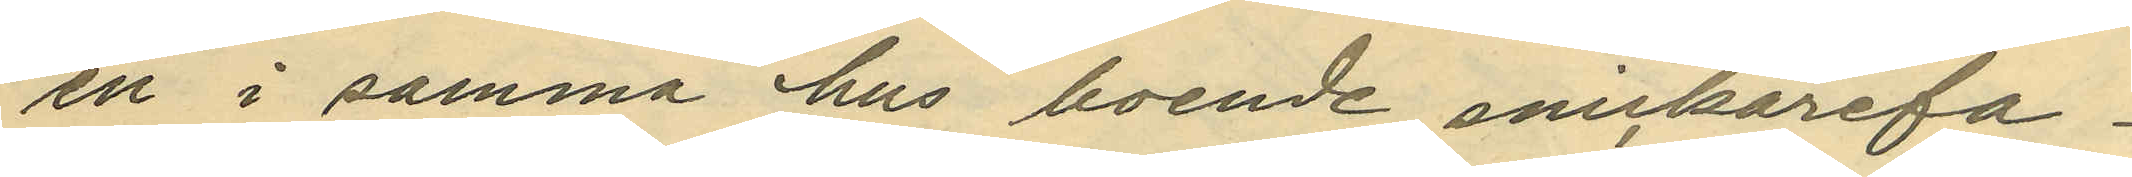en i samma hus boende snickarefa¬
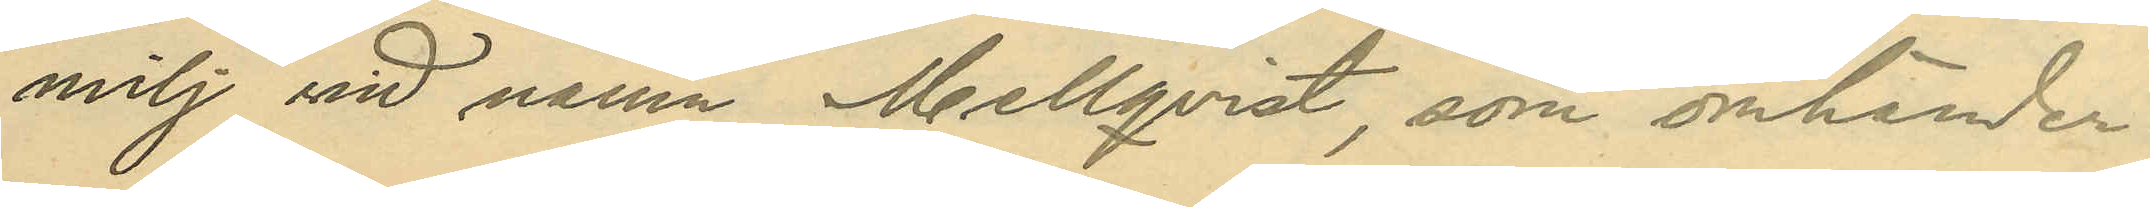milj vid namn Mellqvist, som omhänder¬
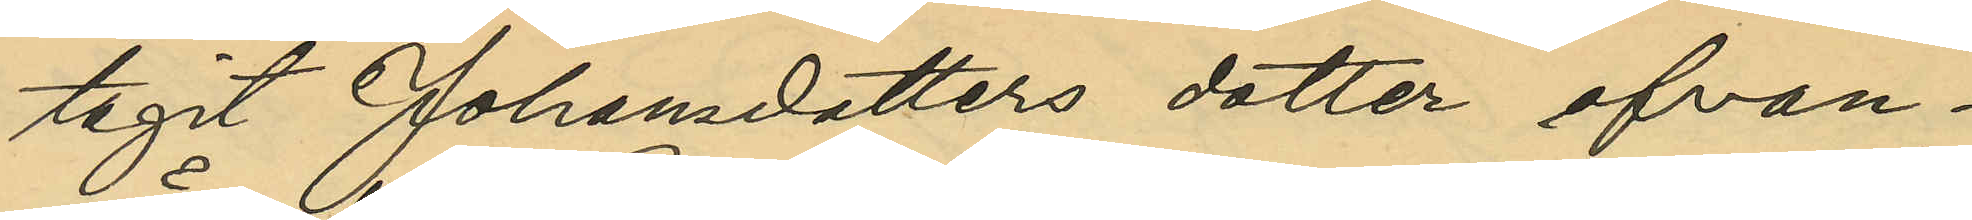tagit Johansdotter ofvan¬
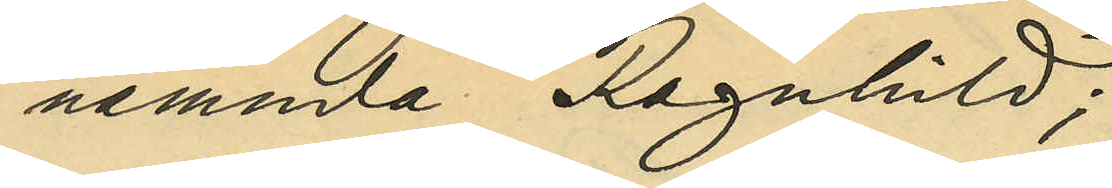nämnda Ragnhild;
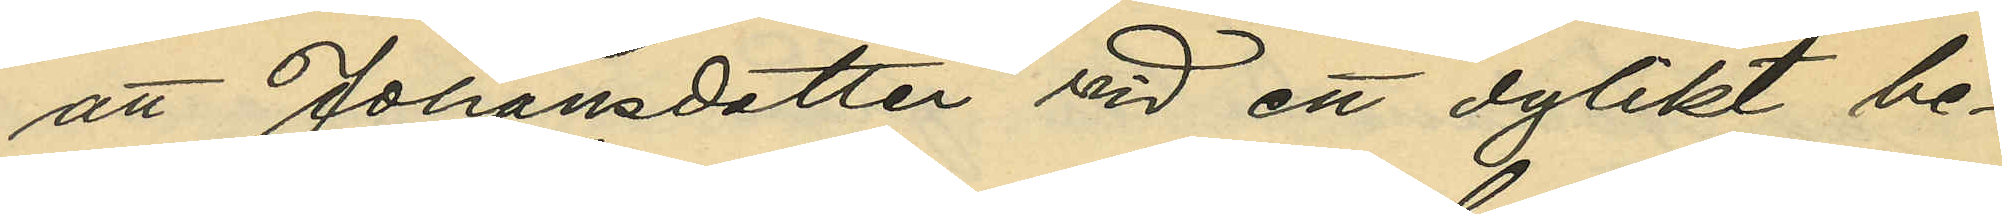att Johansdotter vid ett dylikt be¬
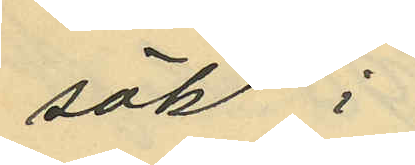sök i
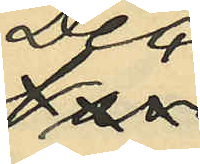Dec¬
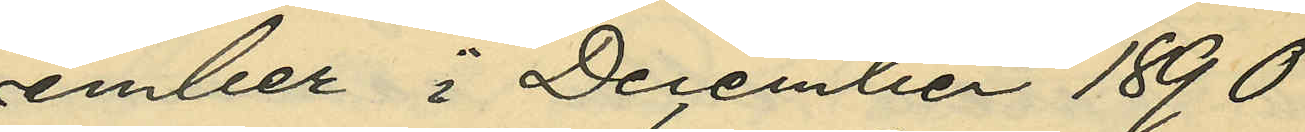ember i December 1890
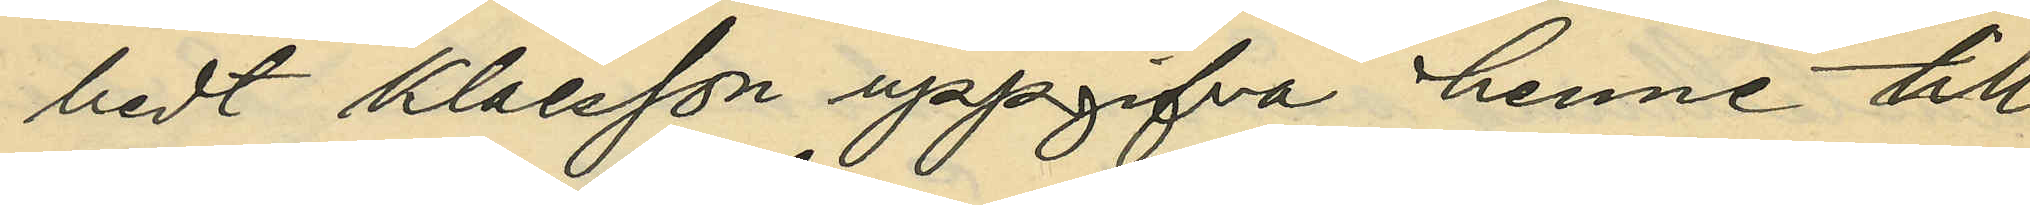bedt Klaesson uppgifva henne till
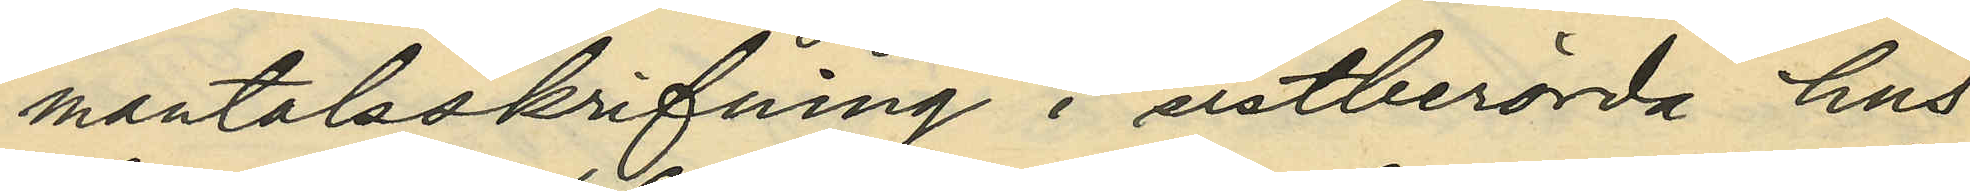mantalsskrifning i sistberörda hus
